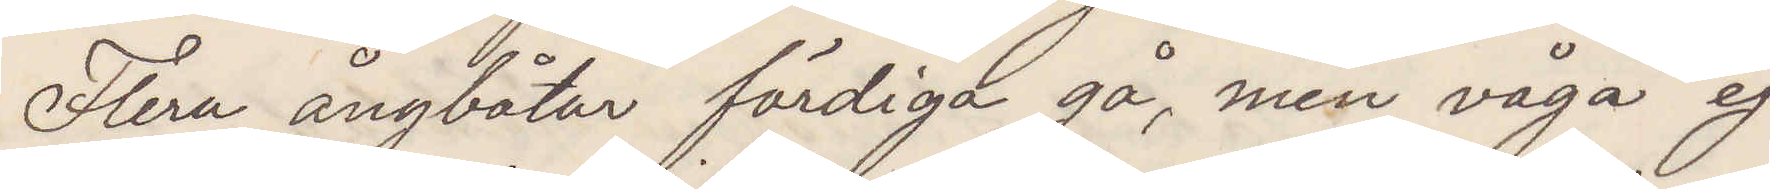Flera ångbåtar färdiga gå men våga ej
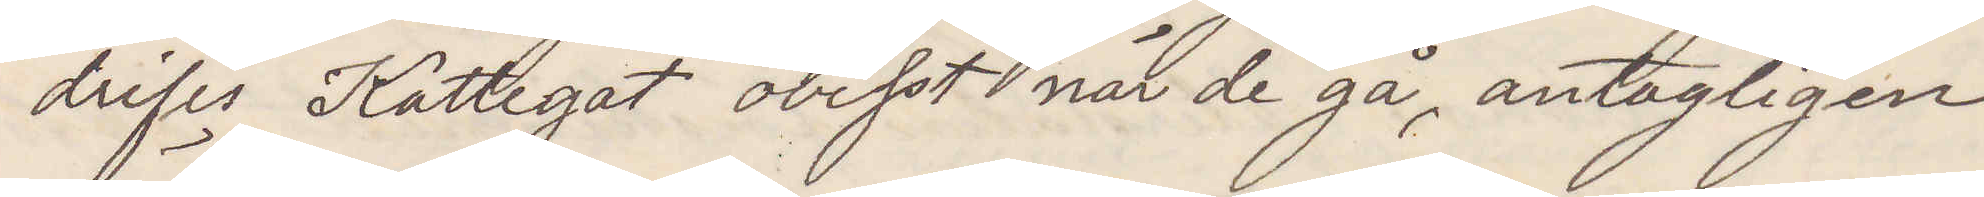drifis Kattegat ovisst när de gå, antagligen
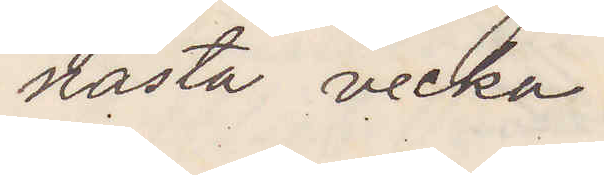nästa vecka.
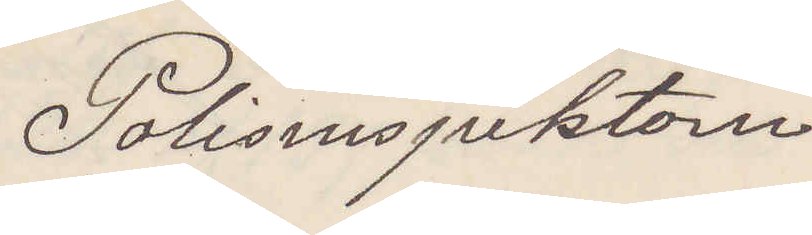Polisinspektorn
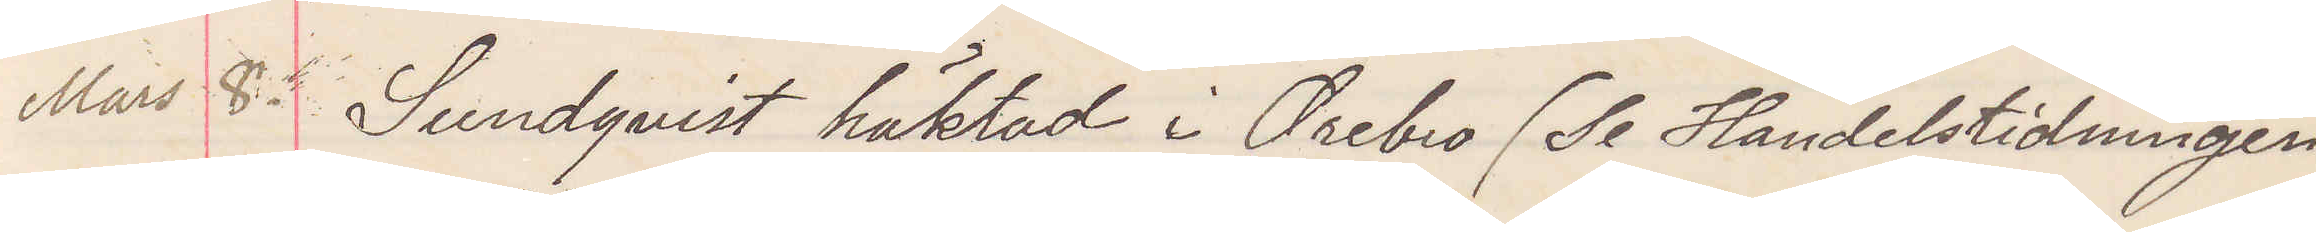Mars 8. Sundqvist häktad i Örebro (Se Handelstidningen
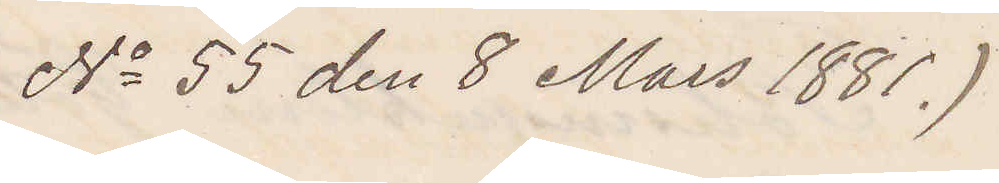No 55 den 8 Mars 1881.)
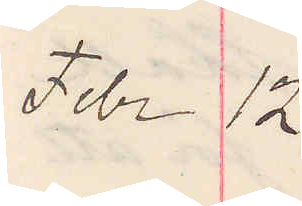Febr 12.
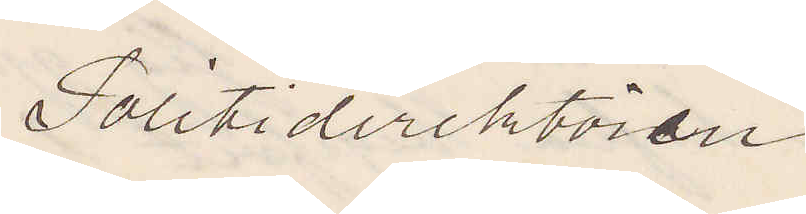Politidirektören
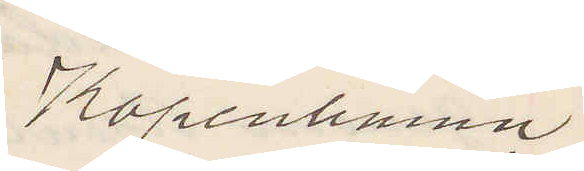Köpenhamn.
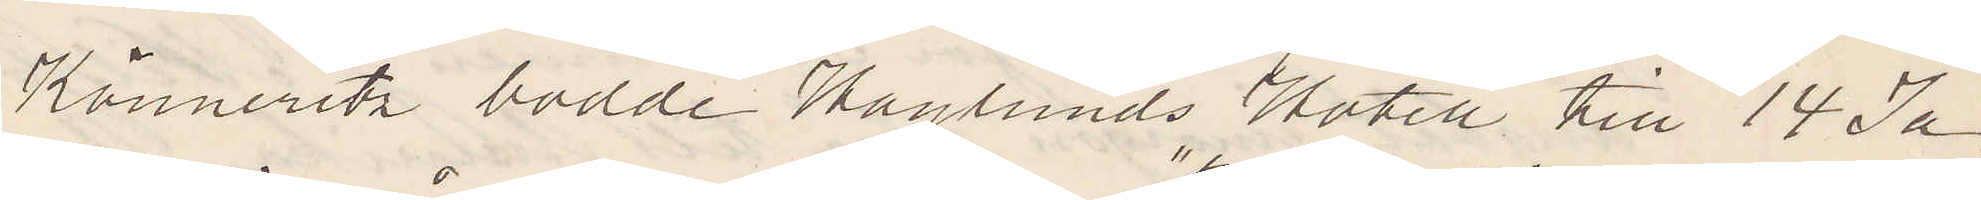Könneritz bodde Haglunds Hotell till 14 Ja¬
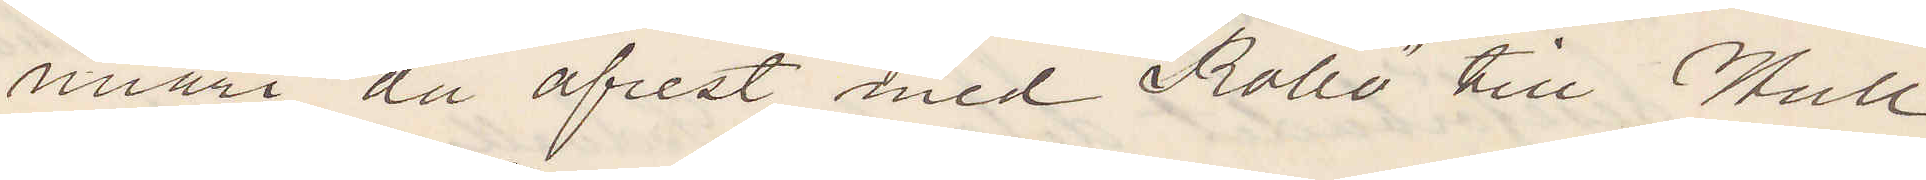nuari då afrest med "Rollo" till Hull
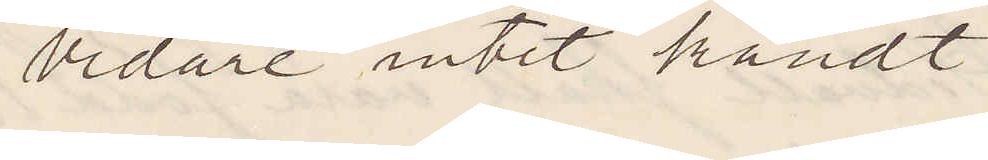vidare intet kändt.
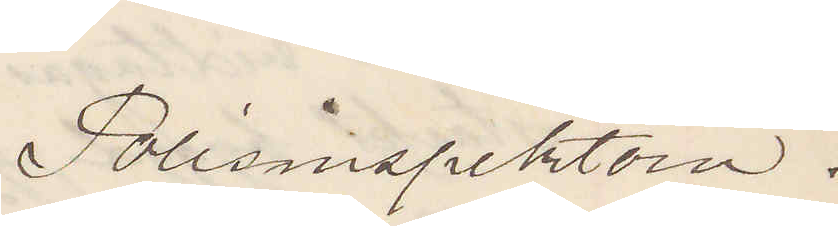Polisinspektorn.
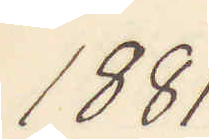1881.
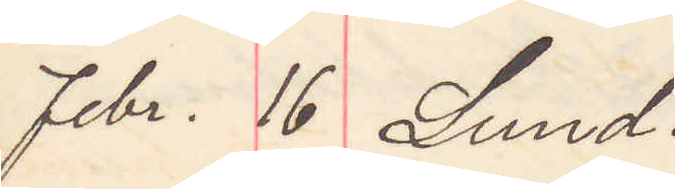Febr. 16 Lund.
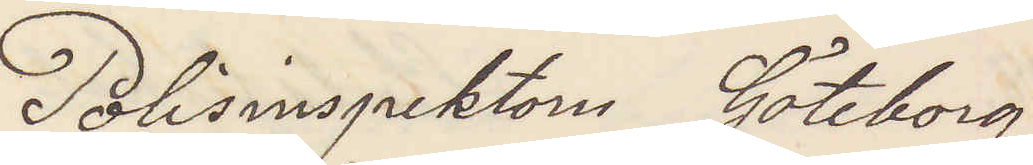Polisinspektorn Göteborg
